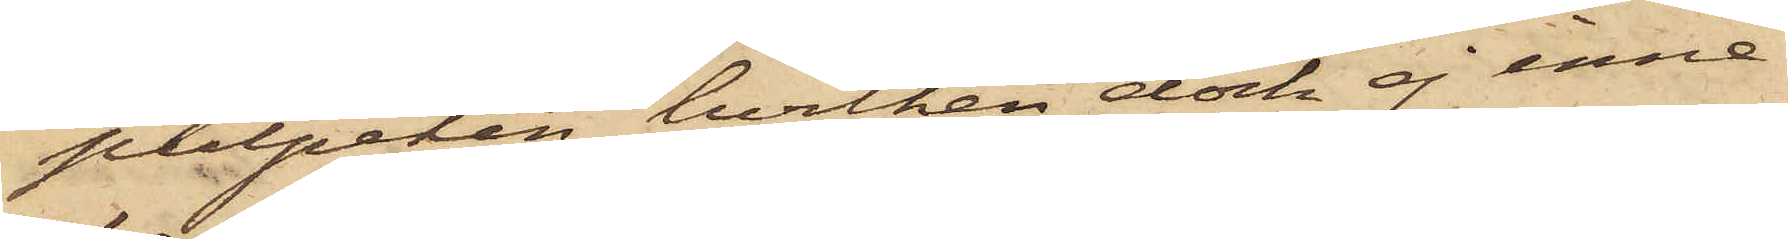pulpeten, hvilken dock ej inne¬
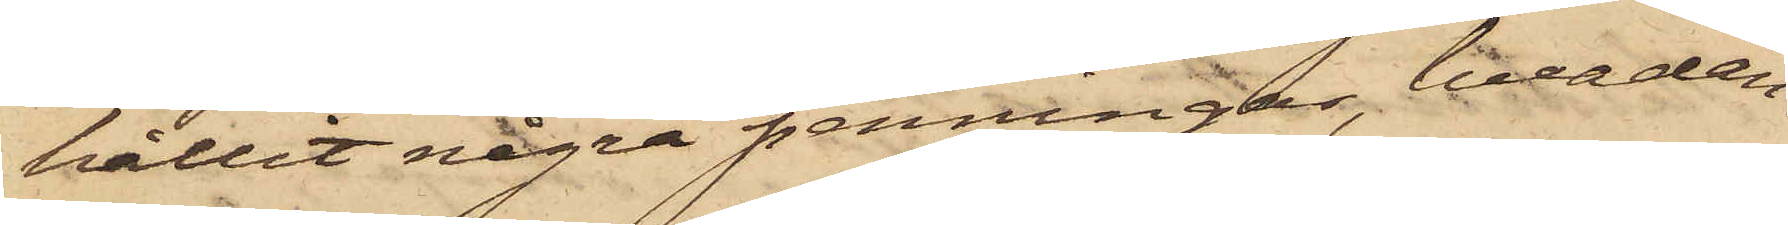hållit några penningar, hvadan
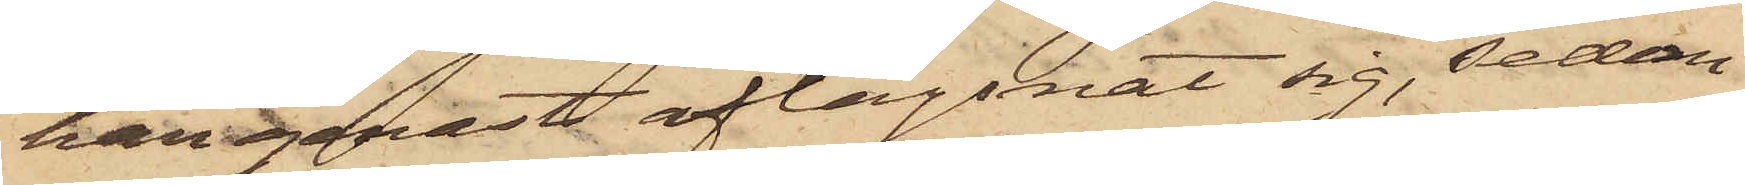han genast aflägsnat sig, sedan
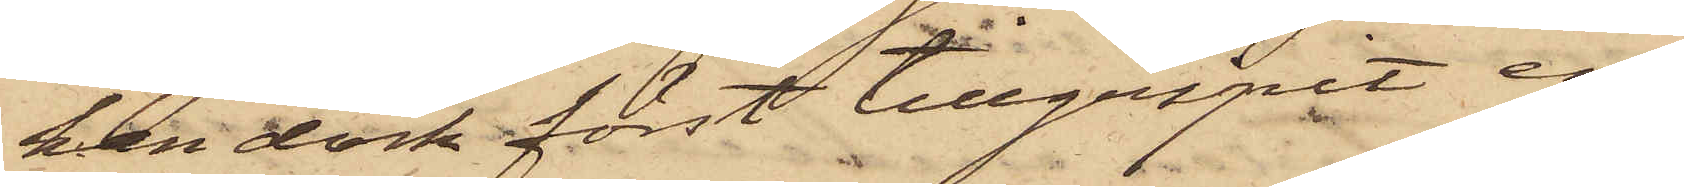han dock först tillgripit en
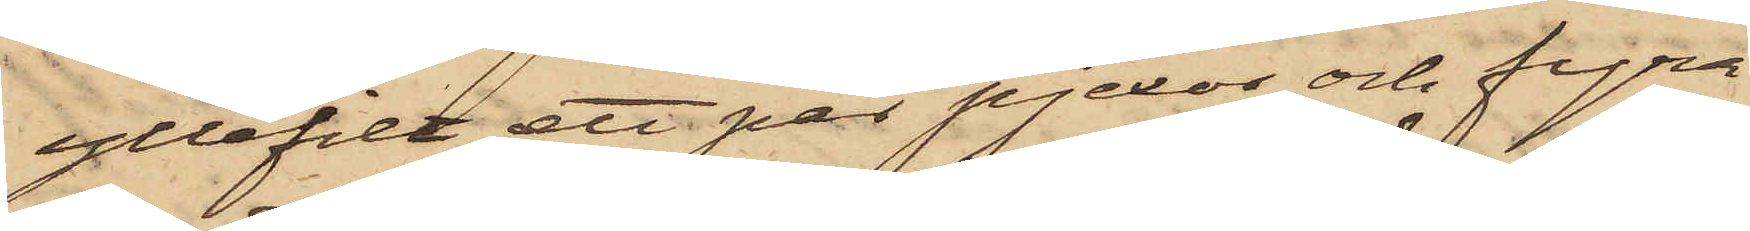yllefilt, ett par pjexor och fyra
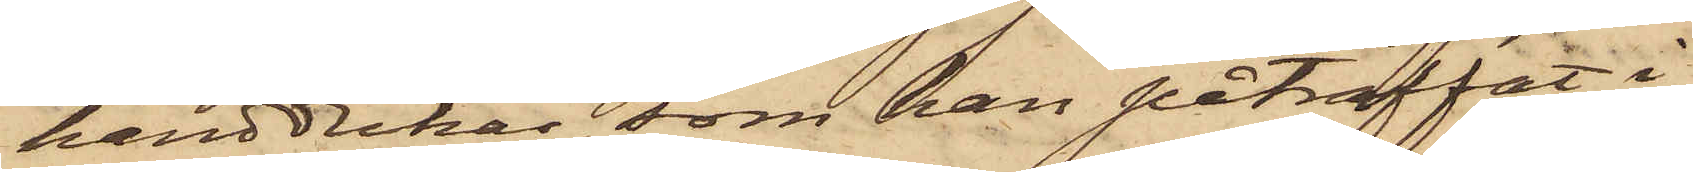handdukar, som han påträffat i
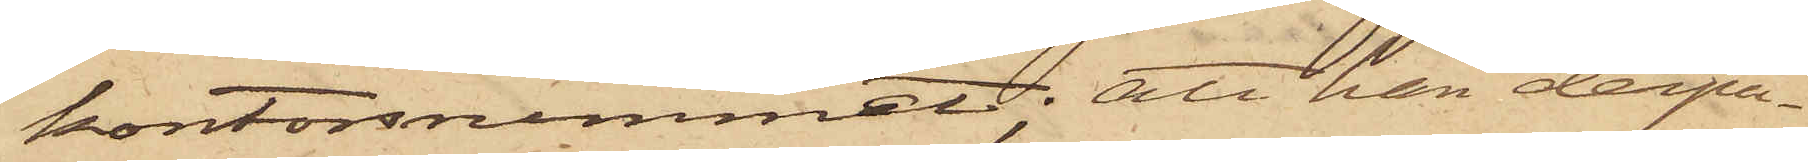kontorsnummet; att han derpå
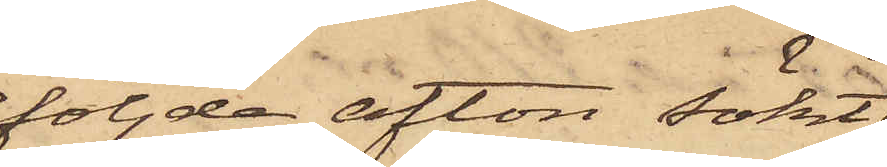följde afton sökt
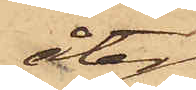åter
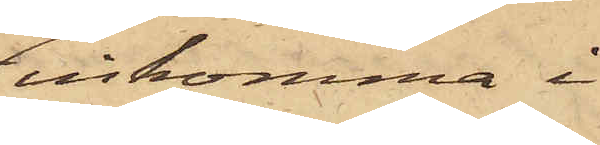inkomma i
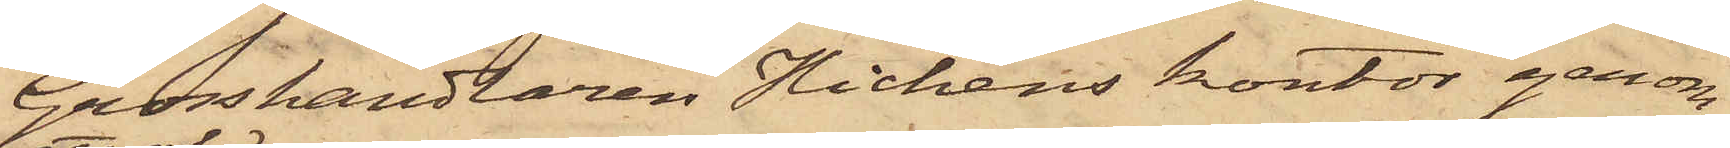Grosshandlaren Hichens kontor genom
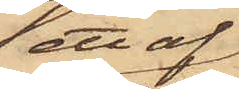ett af
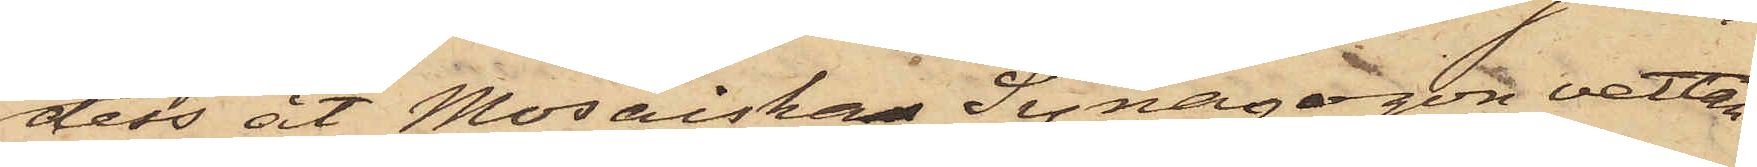dess åt Mosaiska Synagogon vettan¬
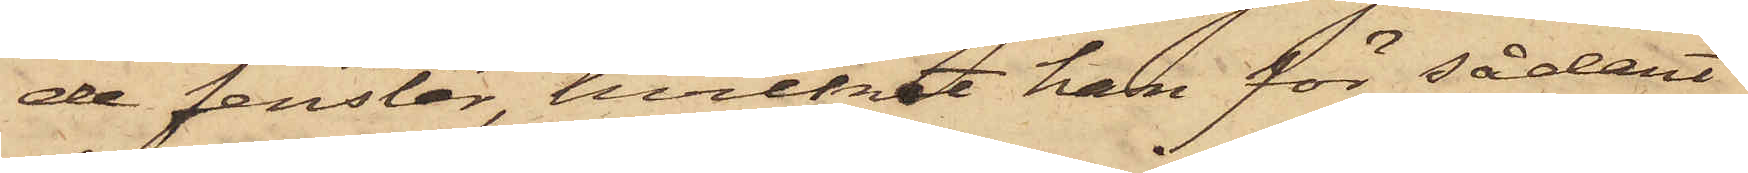de fenster, hvilket han för sådant
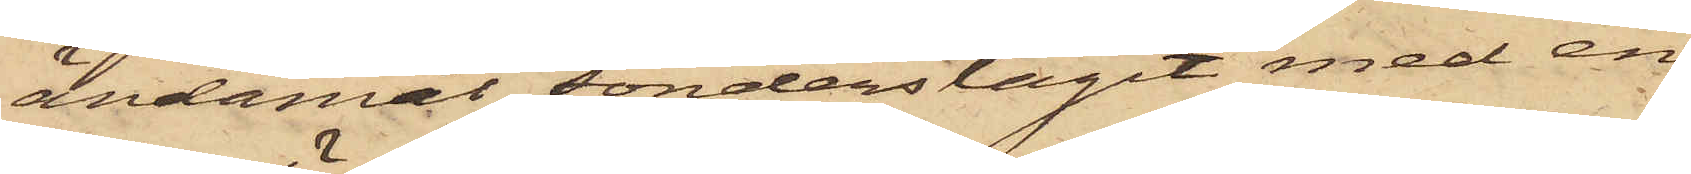ändamål sönderslagit med en
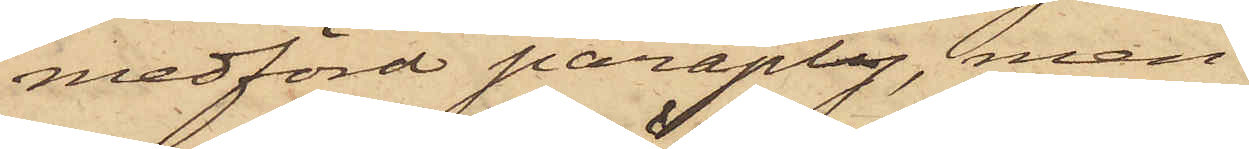medförd paraply, men
